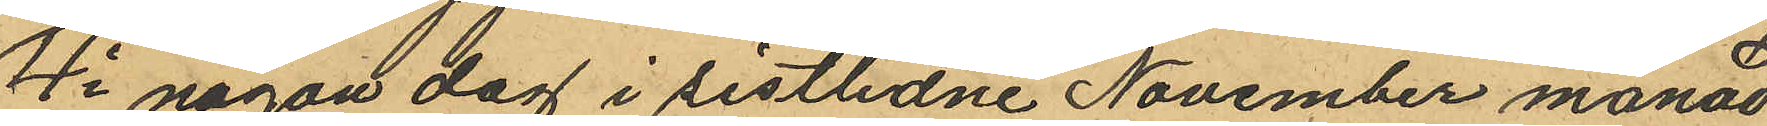4o någon dag i sistlidne November månad
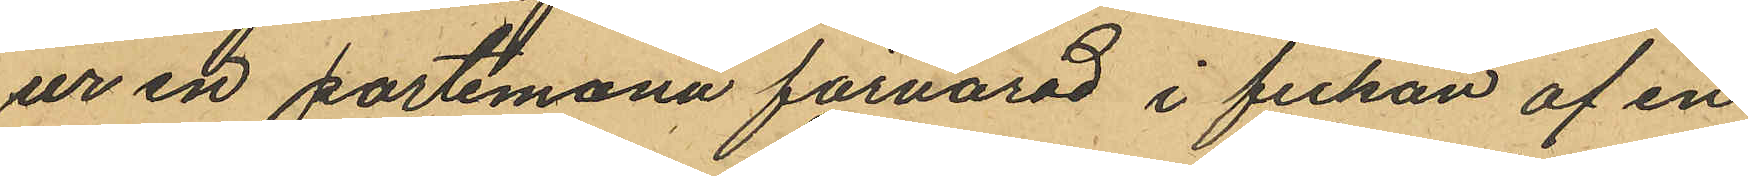ur en portemonä förvarad i fickan af en
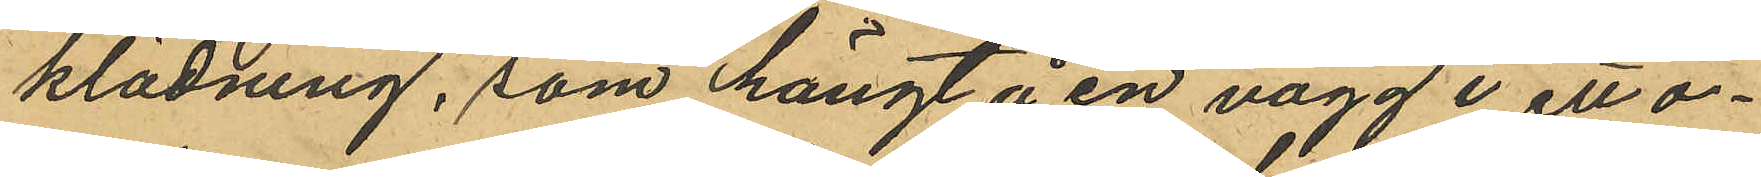klädning, som hängt å en vägg i ett o¬
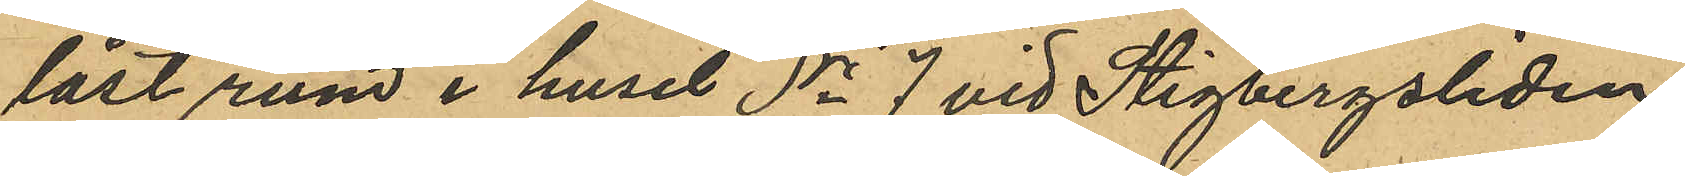låst rum i huset No 7 vid Stigbergsliden
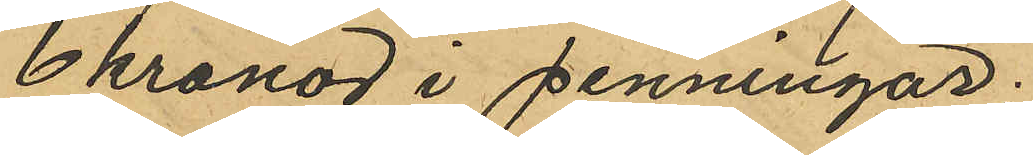6 kronor i penningar.
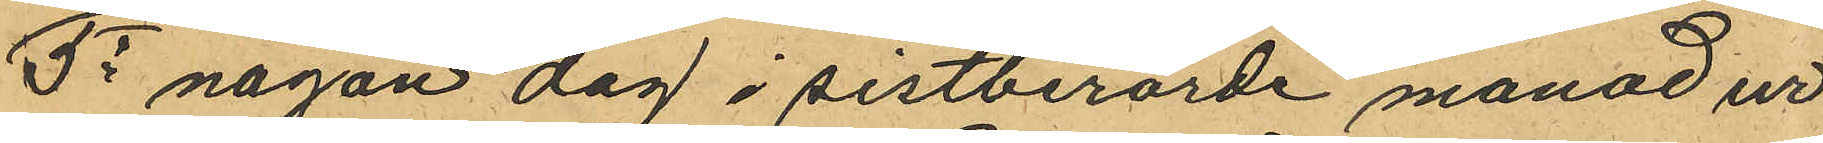5o någon dag i sistberörde manad ur
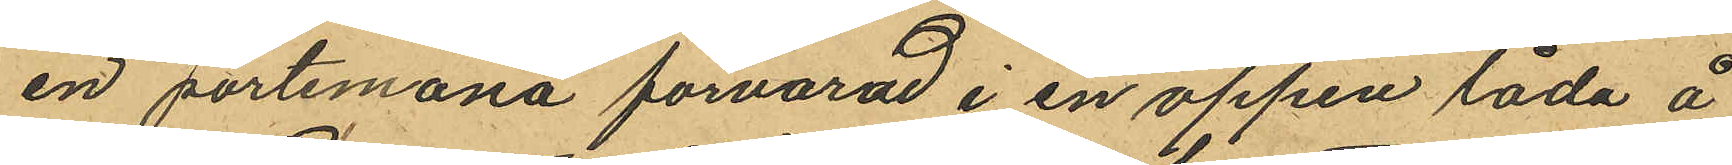en portemonä förvarad i en öppen låda å
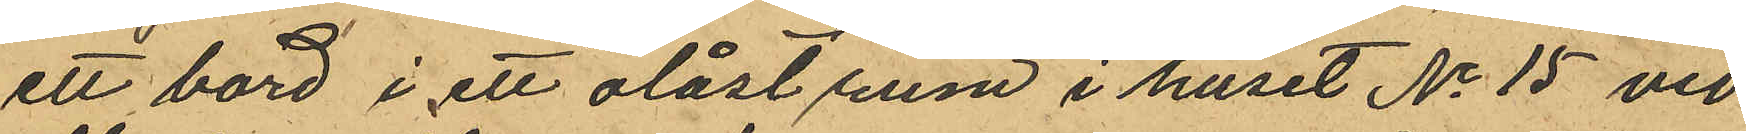ett bord i ett olåst rum i huset No 15 vid
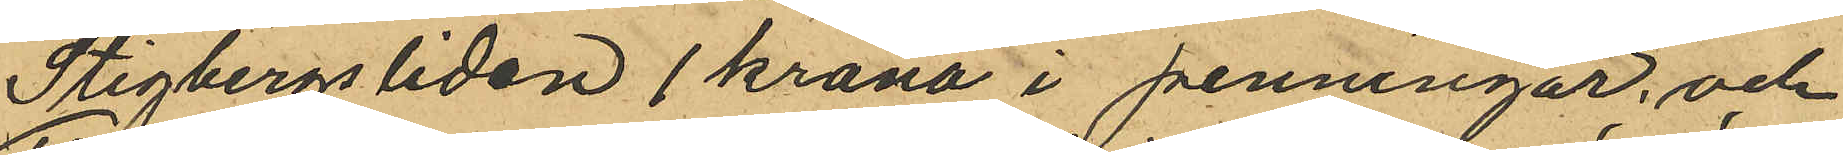Stigbergsliden 1 krona i penningar, och
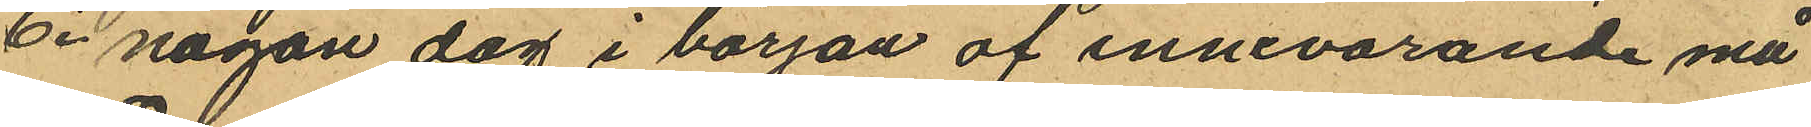6o någon dag i början af innevarande må
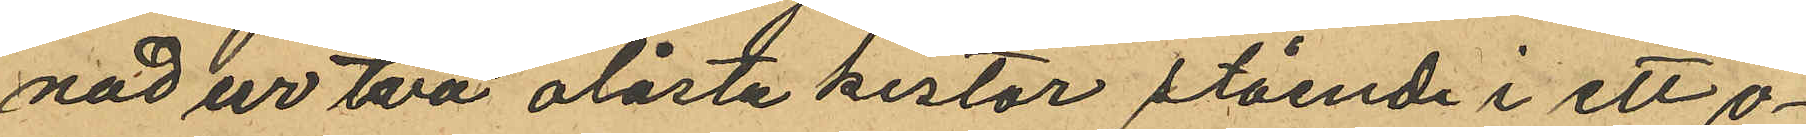nad ur två olåsta kistor stående i ett o¬
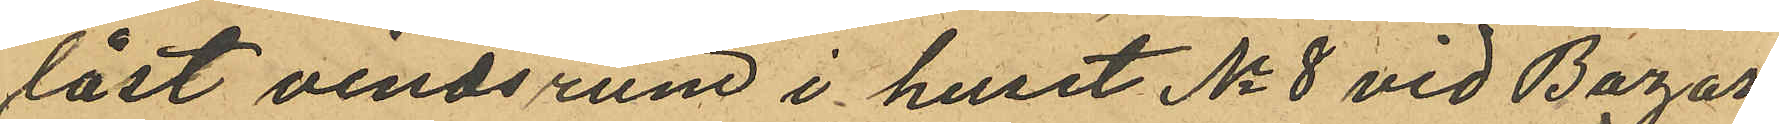låst vindsrum i huset No 8 vid Bazar
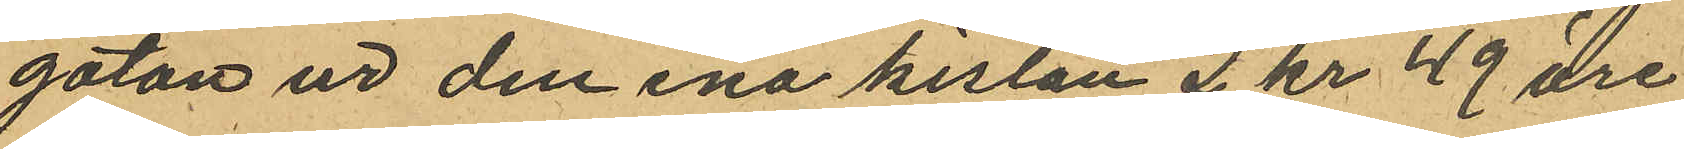gatan ur den ena kistan 2 kr 49 öre
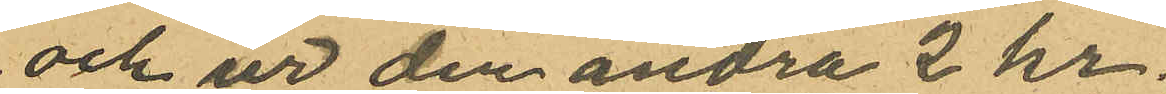och ur den andra 2 kr.
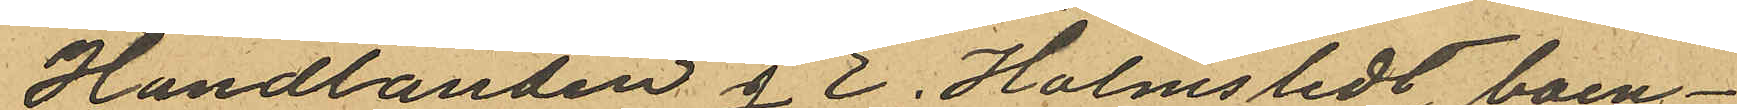Handlanden J E. Holmsledt, boen¬
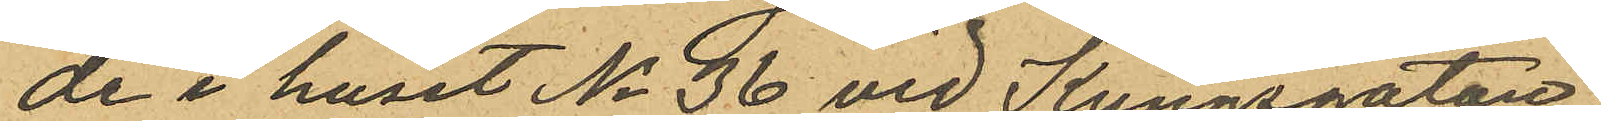de i huset No 36 vid Kungsgatan,
